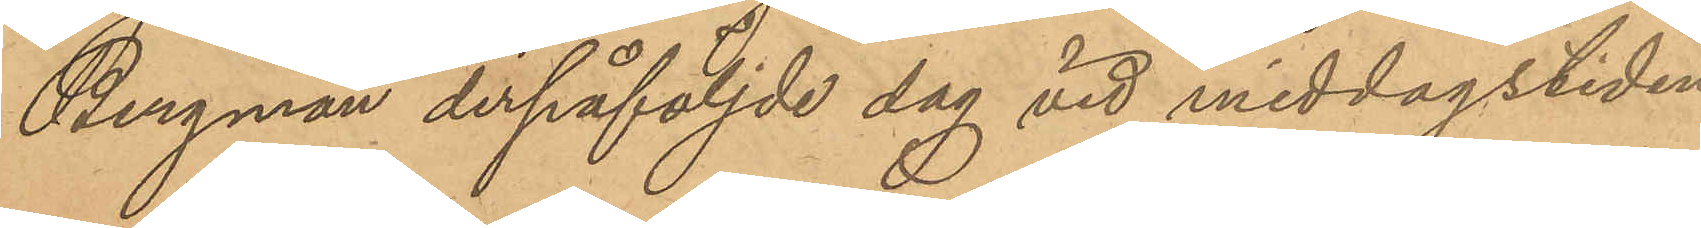Bergman derpåföljde dag vid middagstiden
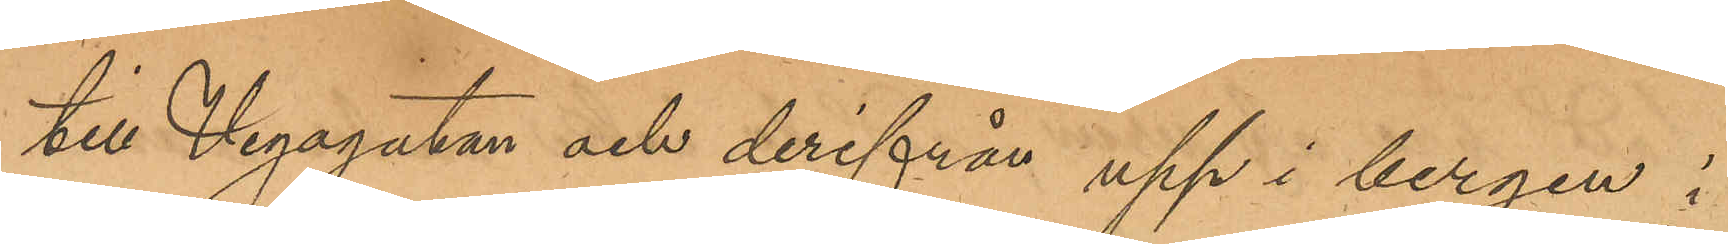till Vegagatan och derifrån upp i bergen i
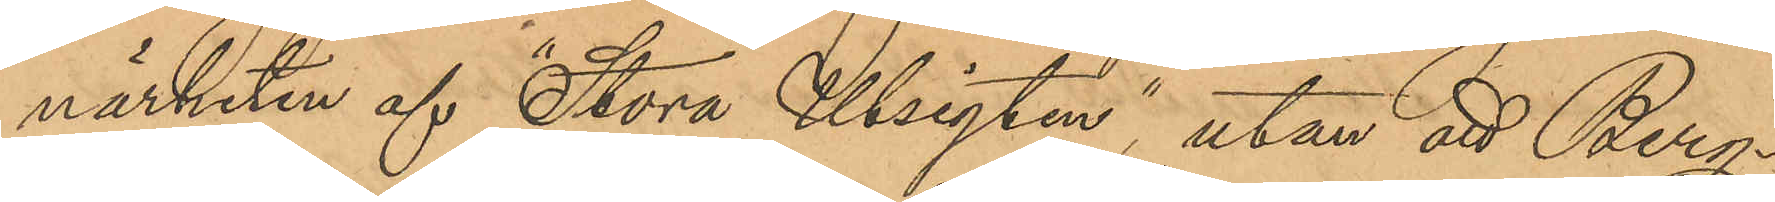närheten af "Stora Utsigten", utan att Berg¬
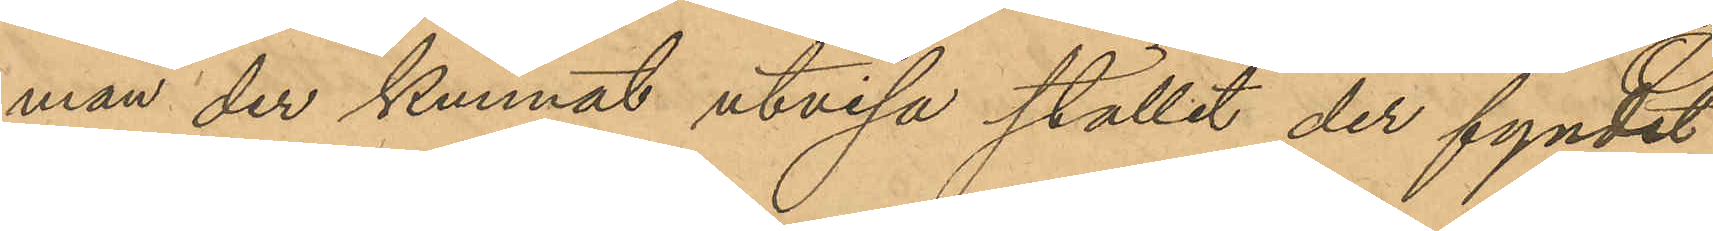man der kunnat utvisa stället der fyndet
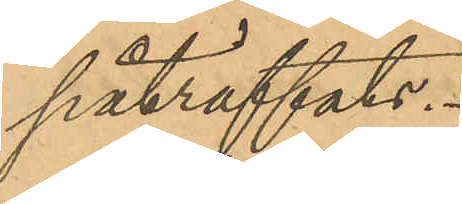påträffats.
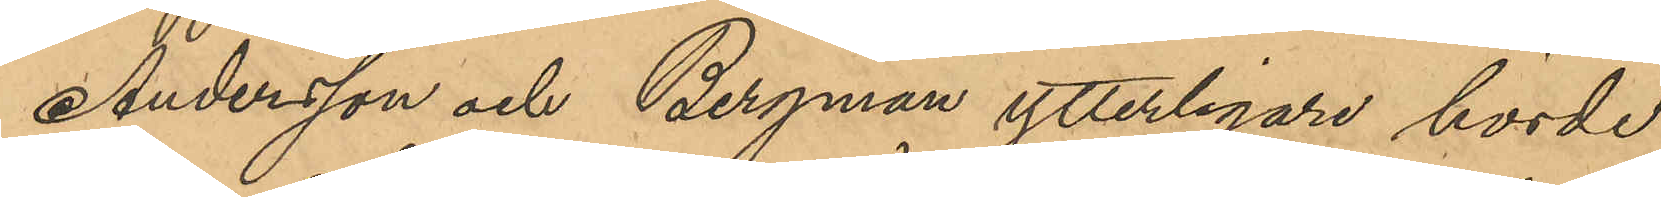Andersson och Bergman ytterligare hörde
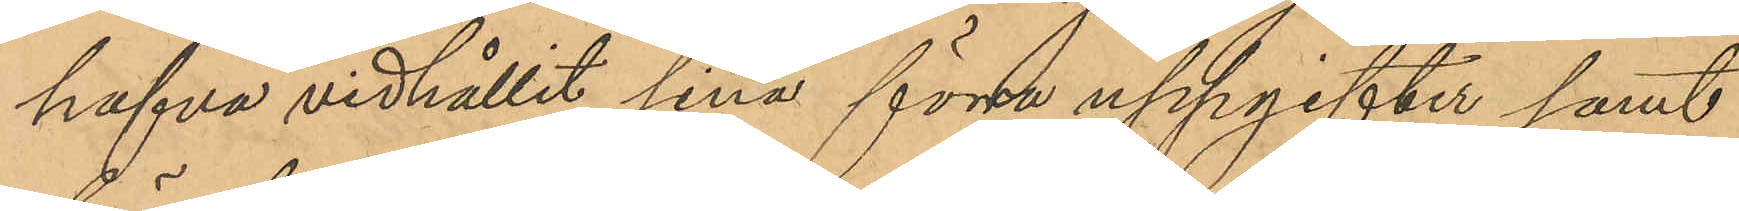hafva vidhållit sina förra uppgifter samt
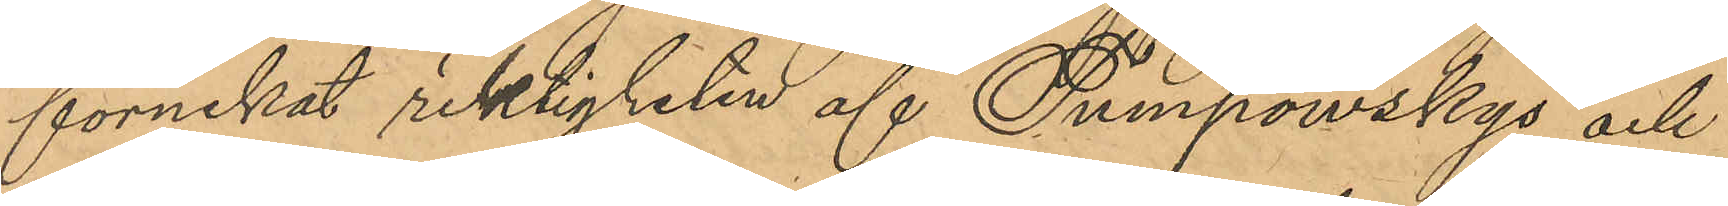förnekat riktigheten af Tumpowskys och
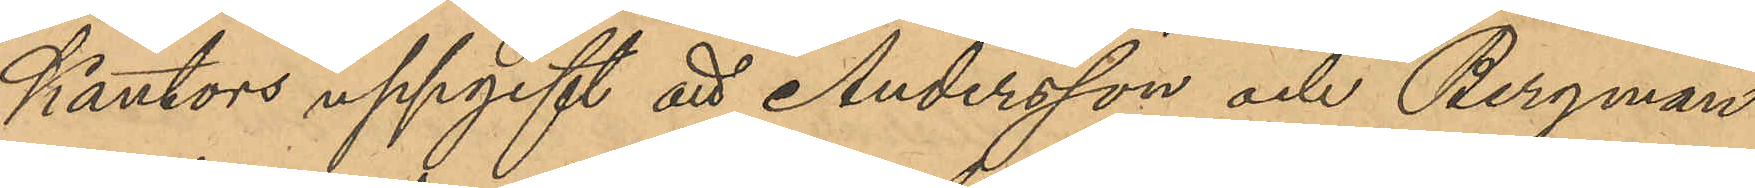Kantors uppgift att Andersson och Bergman
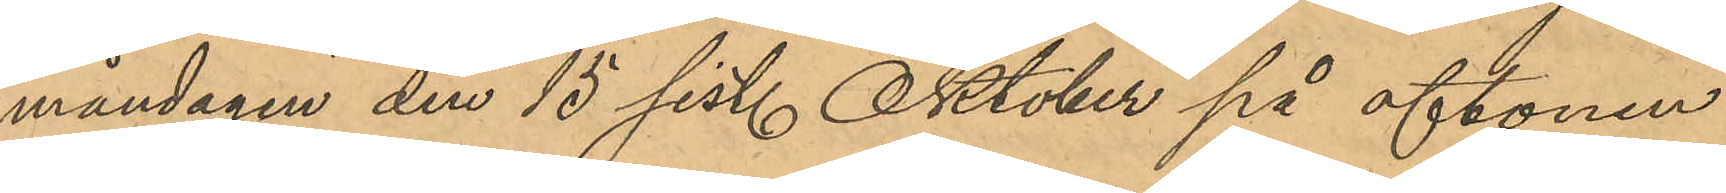måndagen den 15 sist. Oktober på aftonen
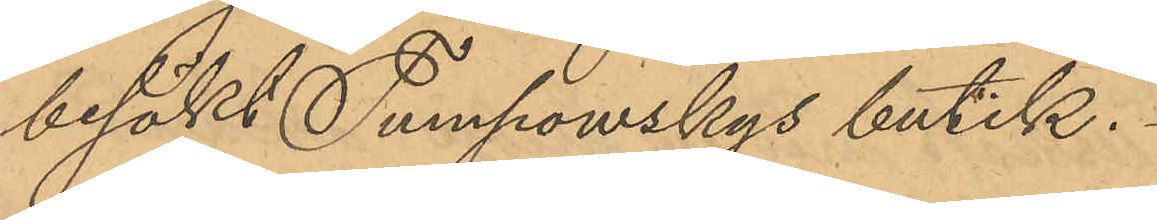besökt Tumpowskys butik.
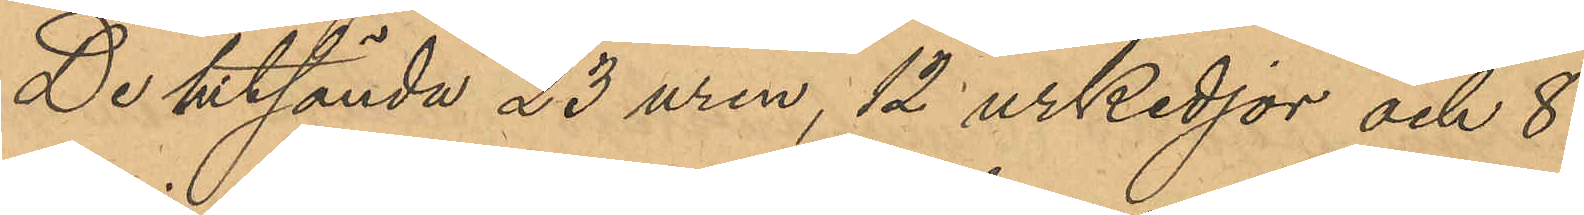De hitsända 23 uren, 12 urkedjor och 8
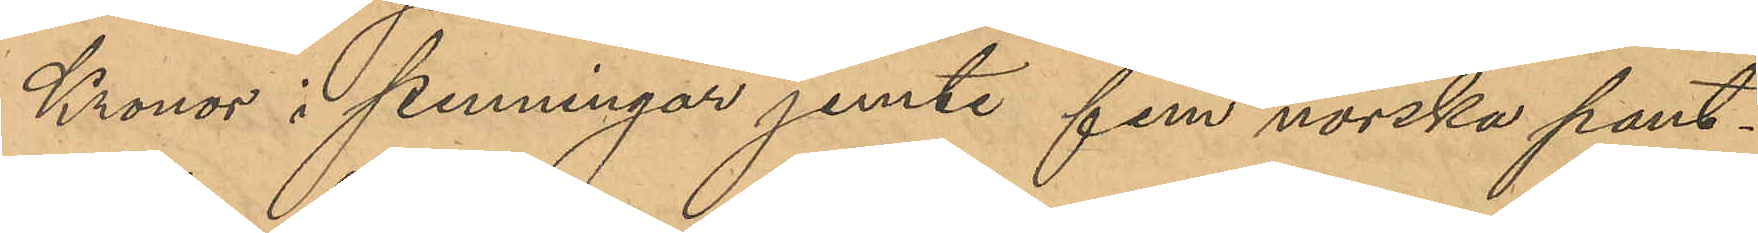Kronor i penningar jemte fem norska pant¬
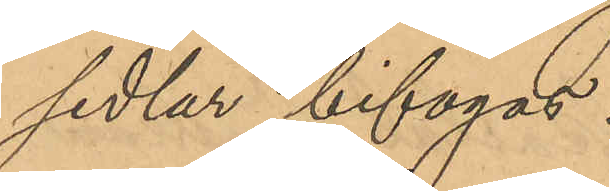sedlar bifogas.
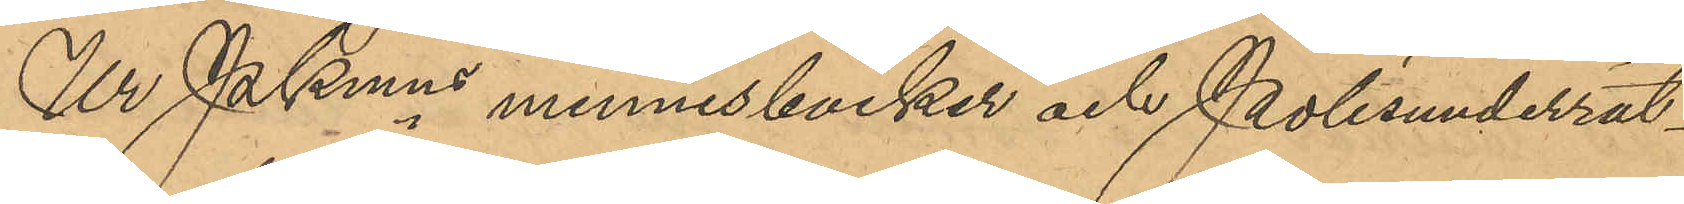Ur PKmns minnesböcker och Polisunderrät¬
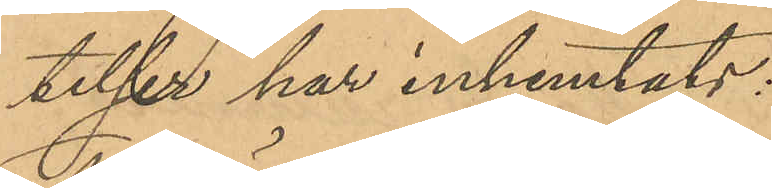telser har inhemtats:
